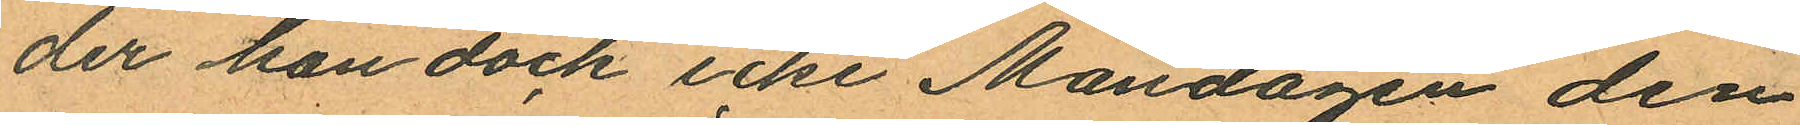der han dock icke Måndagen den
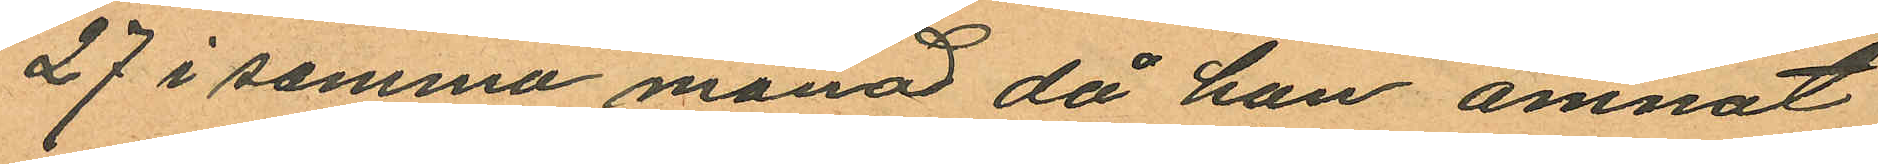27 i samma månad då han ämnat
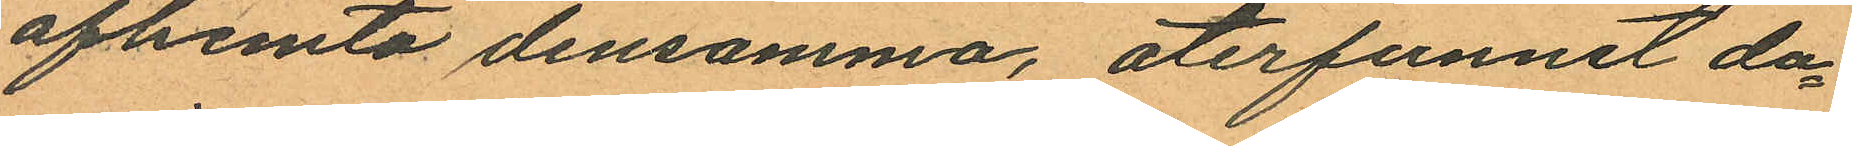afhemta densamma, återfunnit da¬
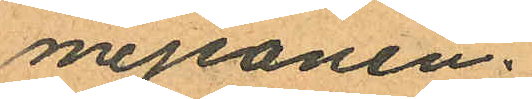mejeanen.
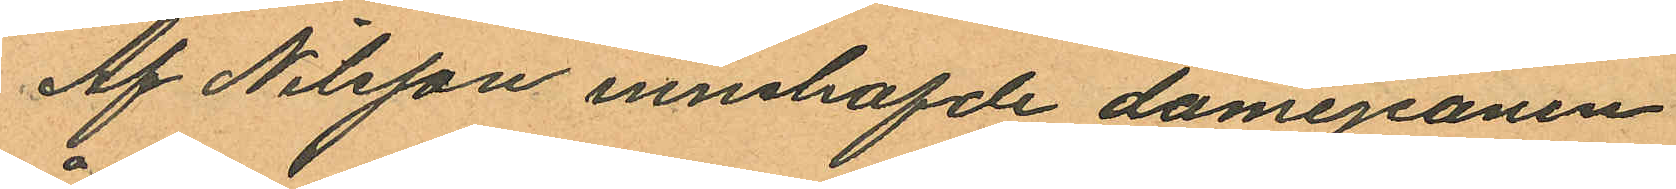Af Nilsson innehafde damejeanen
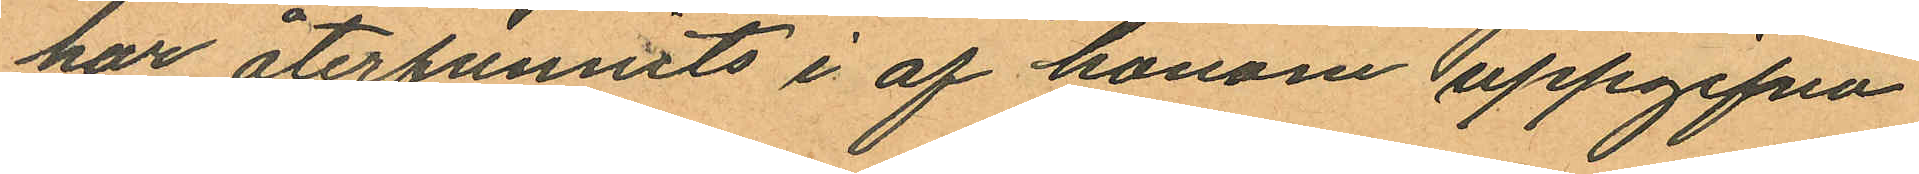har återfunnits i af honom uppgifna
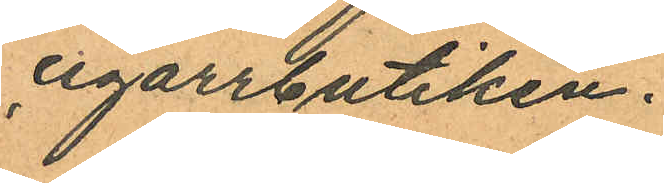cigarrbutiken.
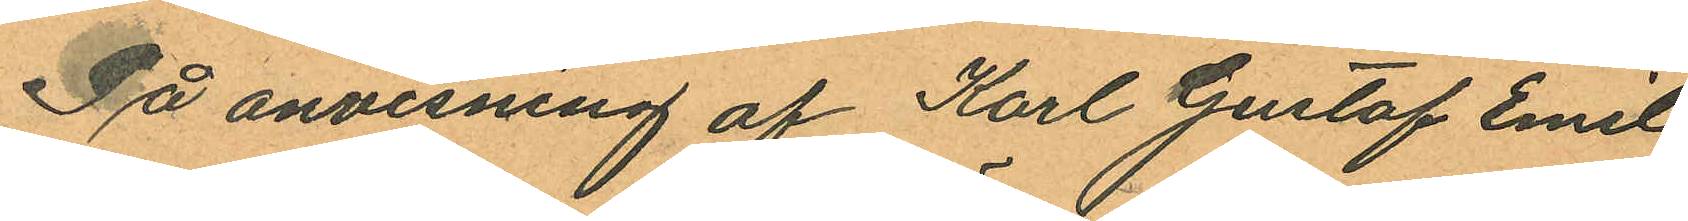På anvisning af Karl Gustaf Emil
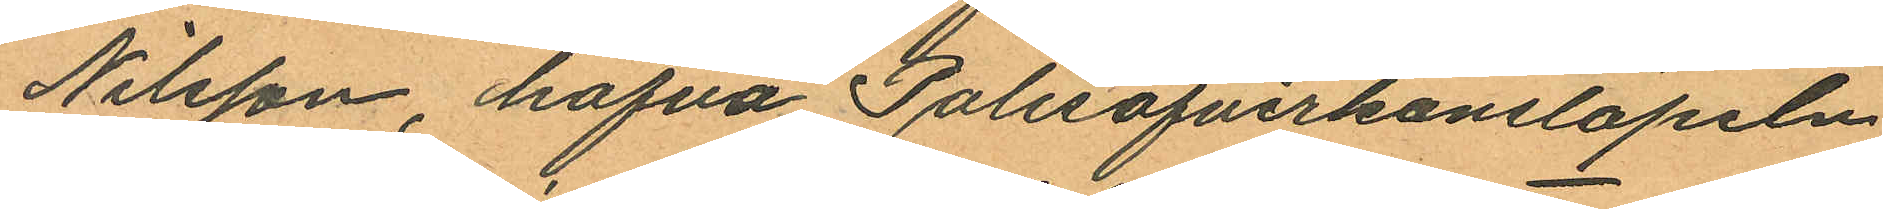Nilsson, hafva Polisöfverkonstapeln
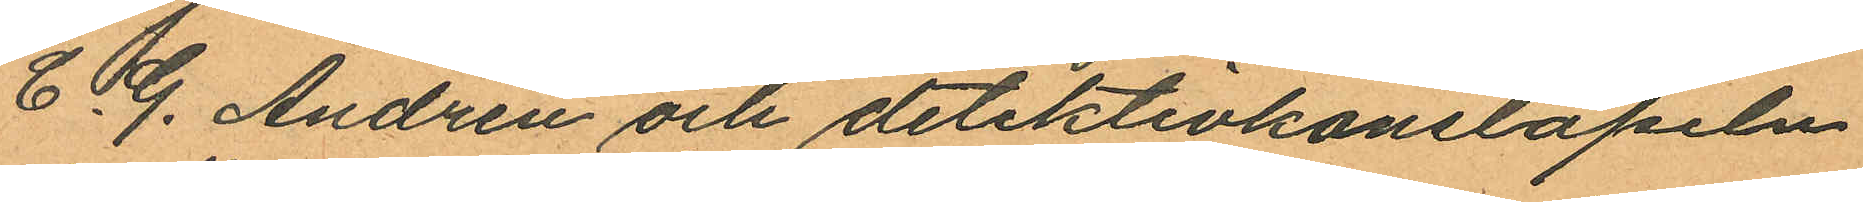C. G. Andrén och detektivkonstapeln
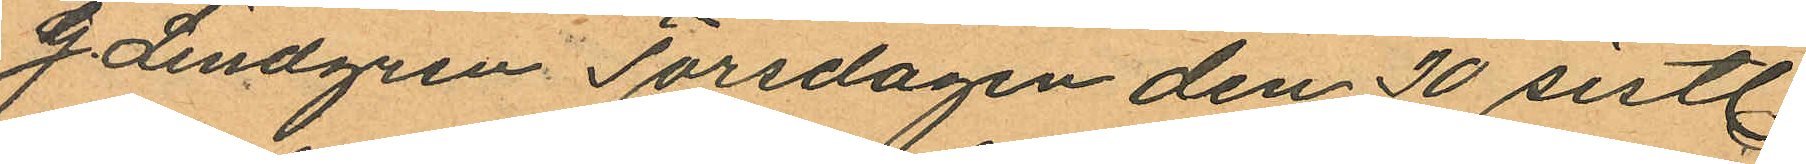J. Lindgren Torsdagen den 30 sistl.
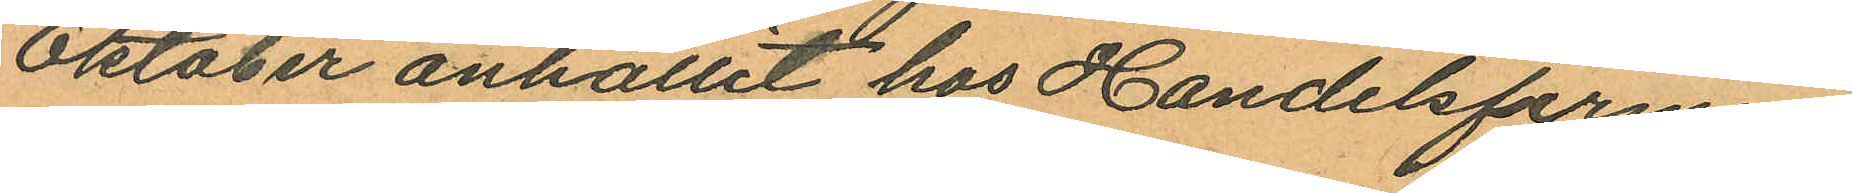Oktober anhållit hos Handelsfirman
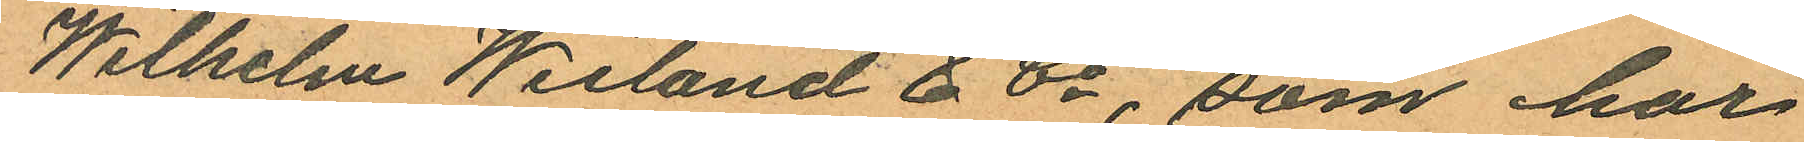Wilhelm Weiland & Co, som har
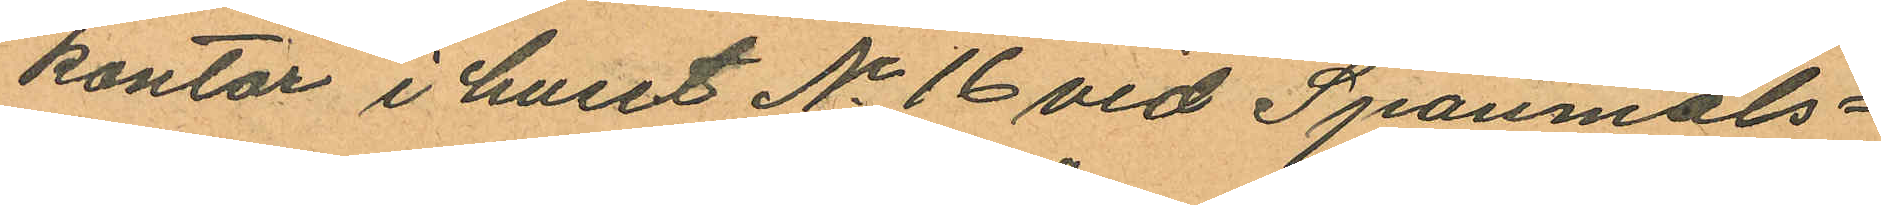kontor i huset No 16 vid Spanmåls¬
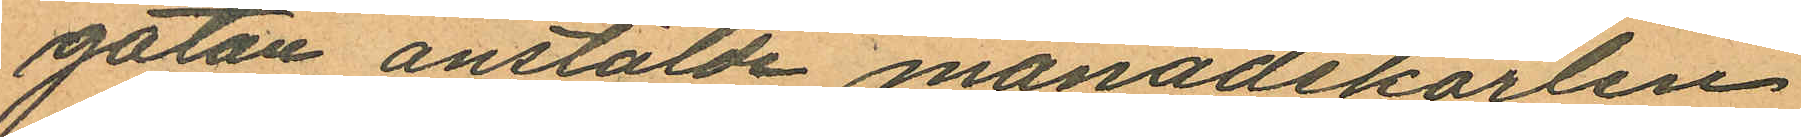gatan anstälde månadskarlen
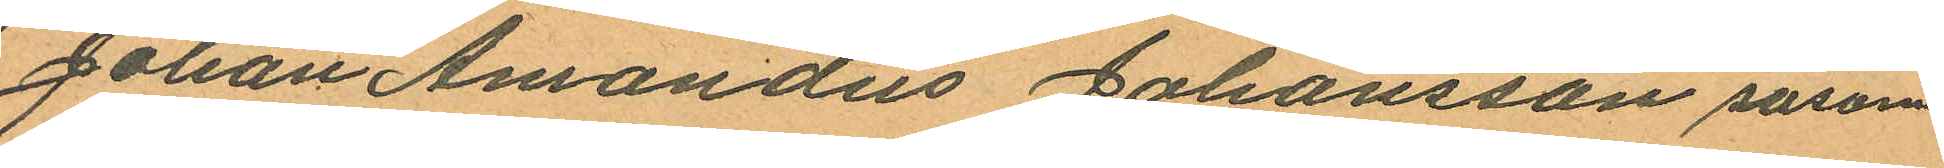Johan Amandus Johansson såsom
